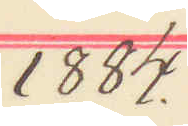1884.
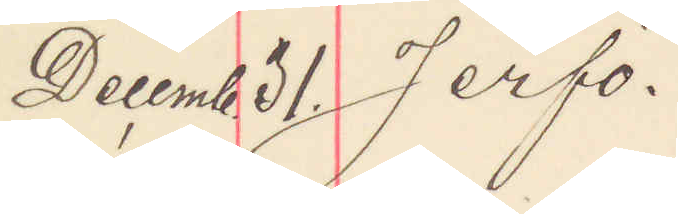Decemb 31. Jerfö.
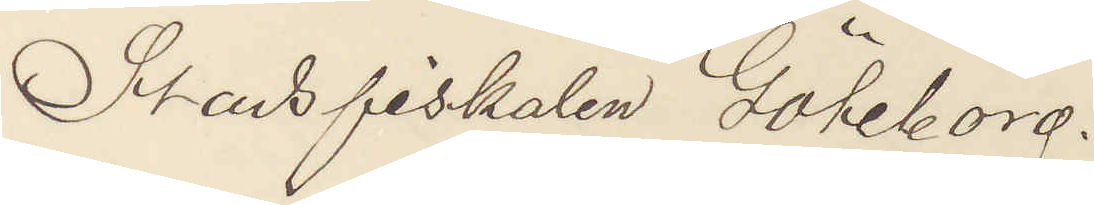Stadsfiskalen Göteborg.
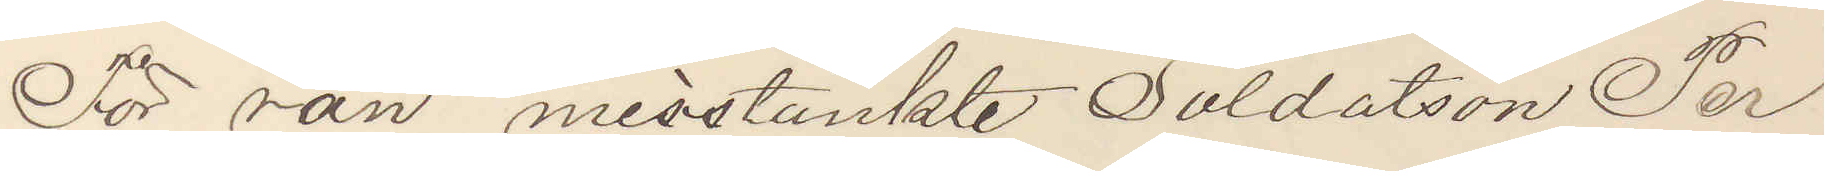För rån misstänkte Soldaten Per
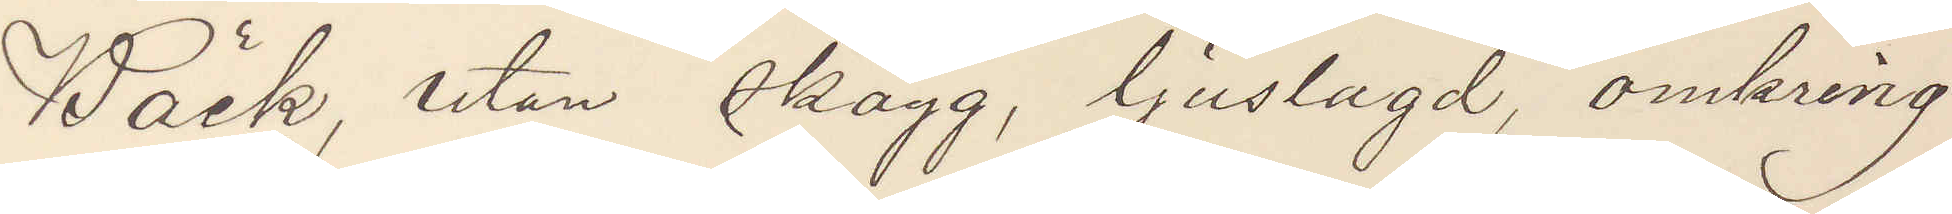Bäck, utan skägg, ljuslagd, omkring
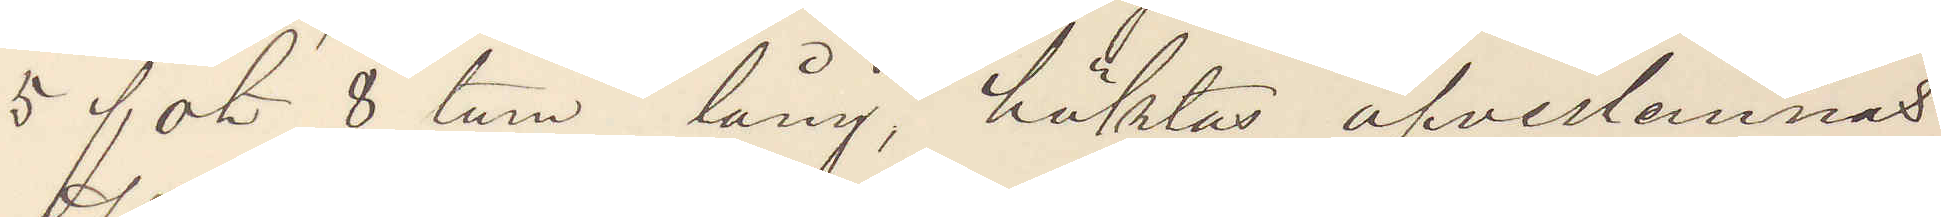8 fot 8 tum lång, häktas öfverlämnas
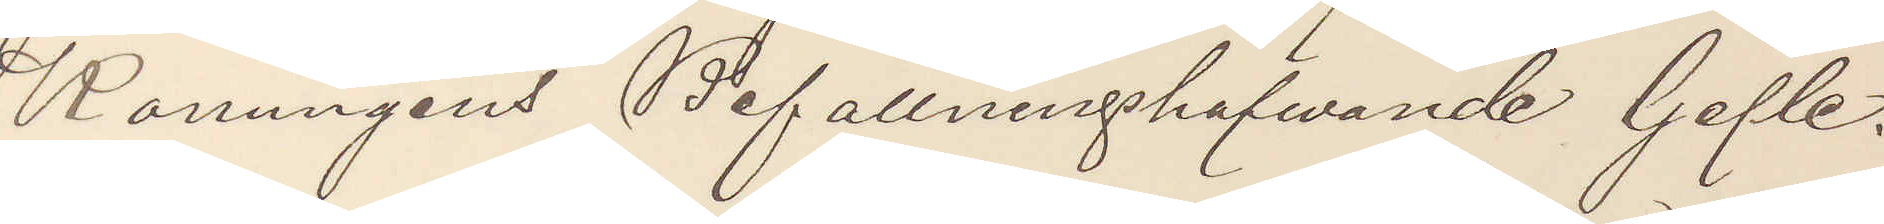Konungens Befallningshafvande Gefle.
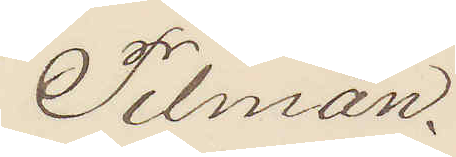Pilman.
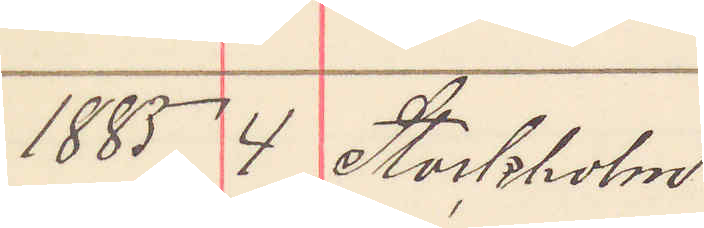1885 4 Stockholm.
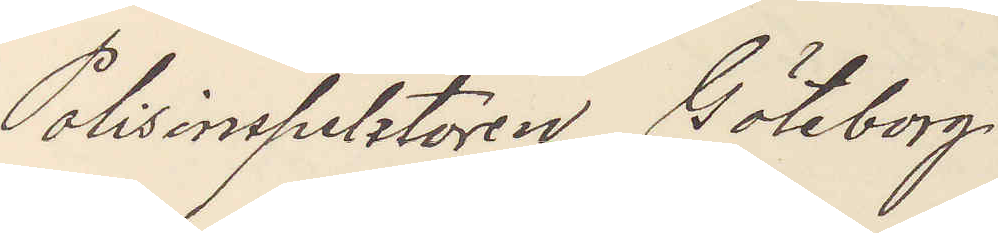Polisinspektorn Göteborg
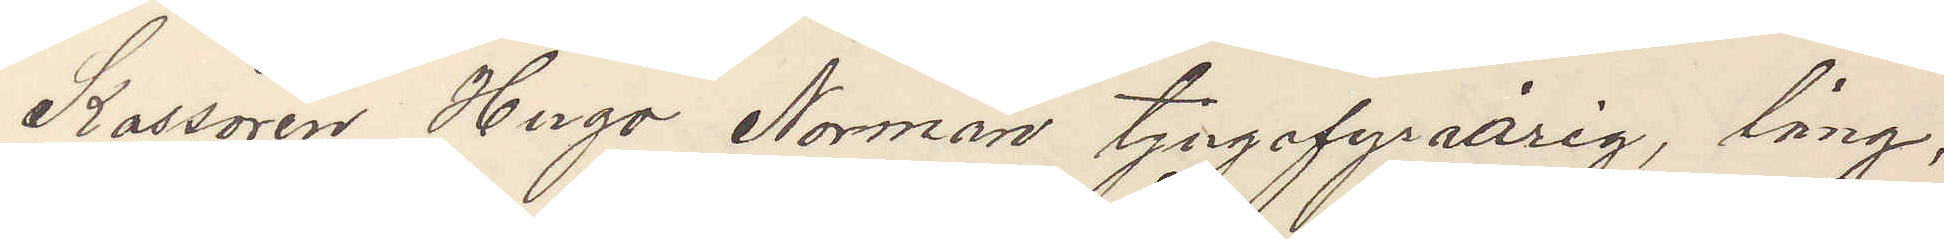Kassören Hugo Norman tjugofyraårig, lång,
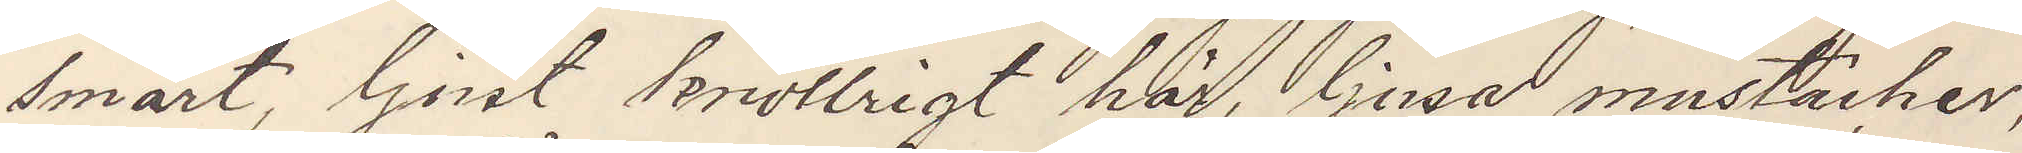smärt, ljust knollrigt hår, ljusa mustacher,
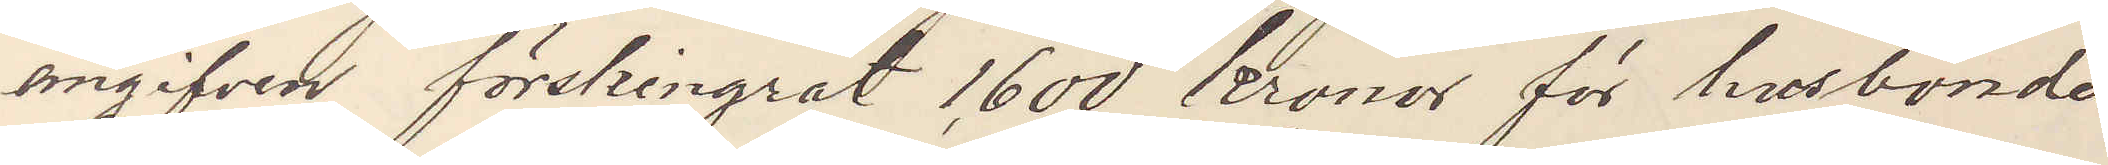angifven förskingrat 1,600 kronor för husbonde
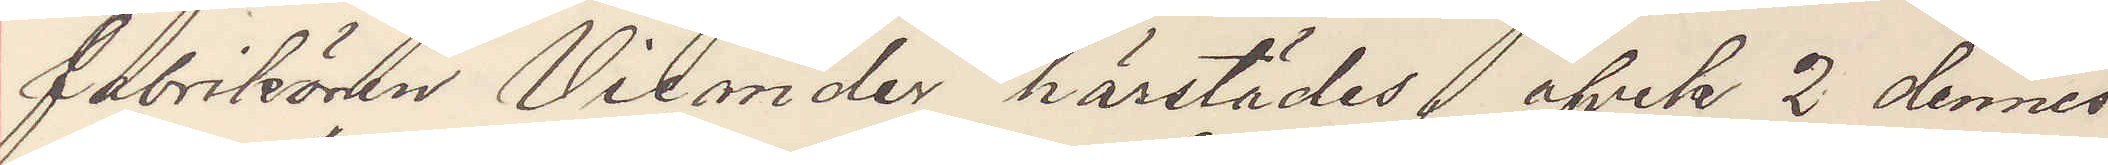fabrikören Vicander härstädes, afvek 2 dennes
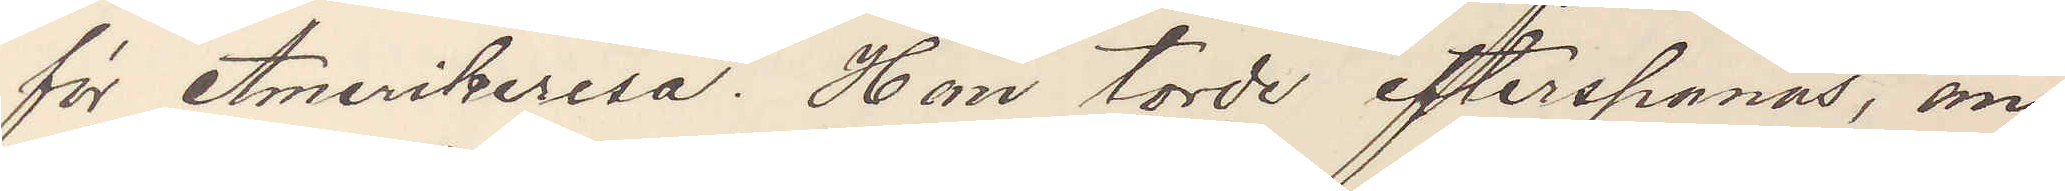för Amerikaresa. Han torde efterspanas, an¬
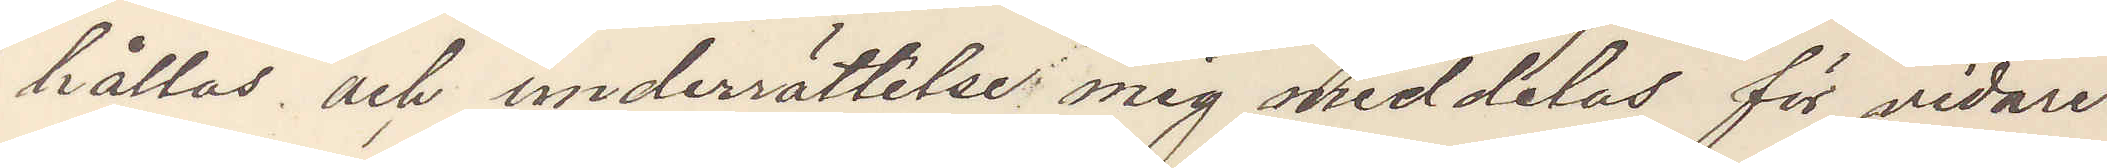hållas och underrättelse mig meddelas för vidare
